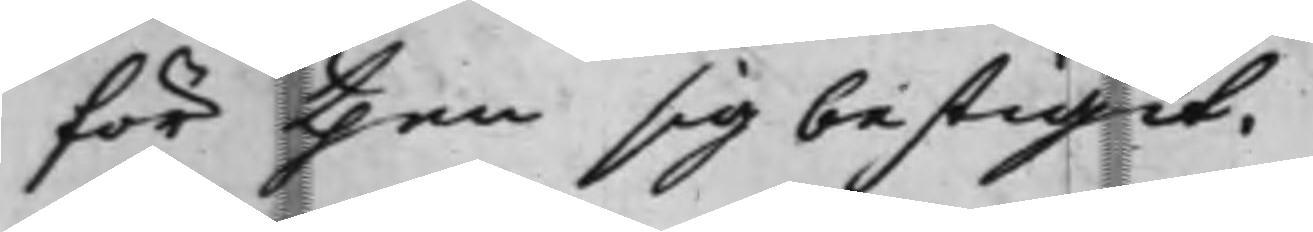för then sig bestigit.
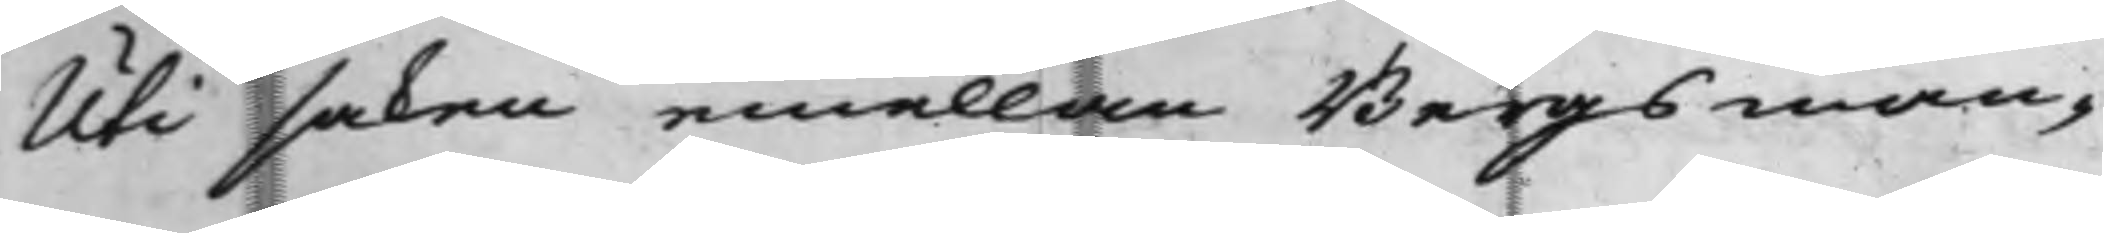Uti saken emellan Bergsman¬
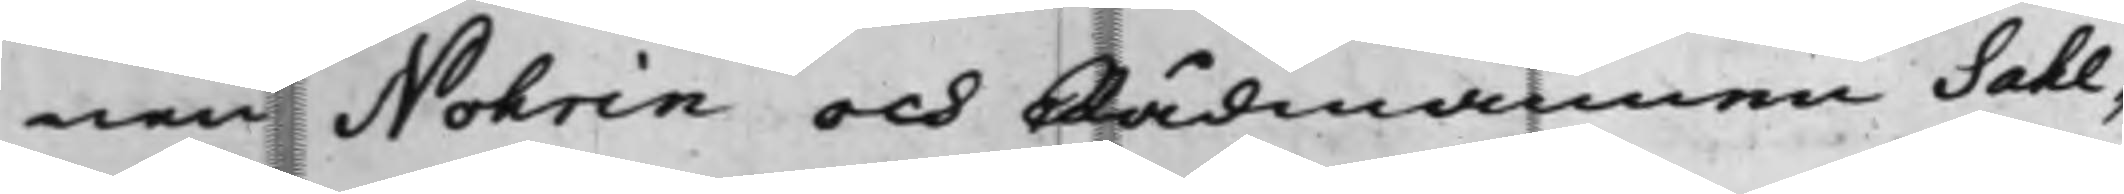nen Nohrin och Rådmannen Sahl¬
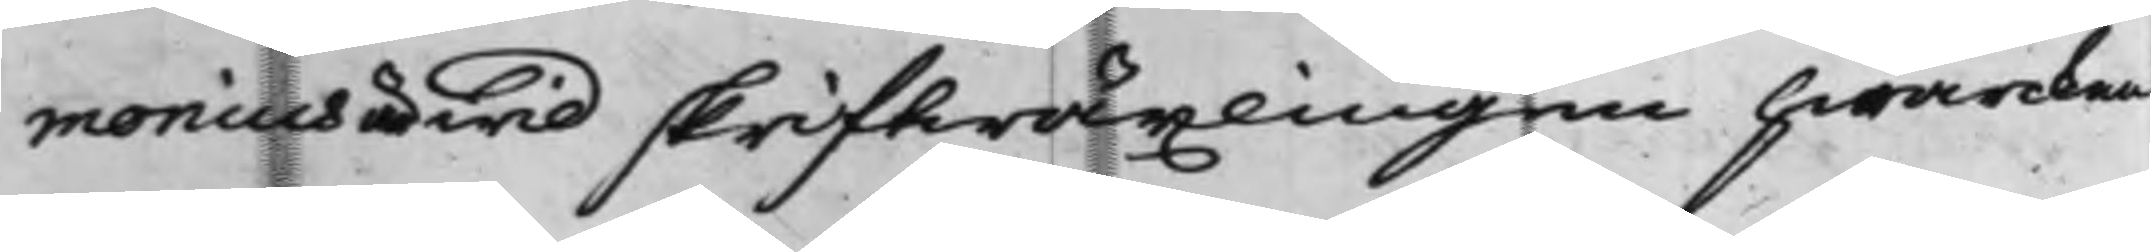monius wid skriftwäxlingen hwarcken
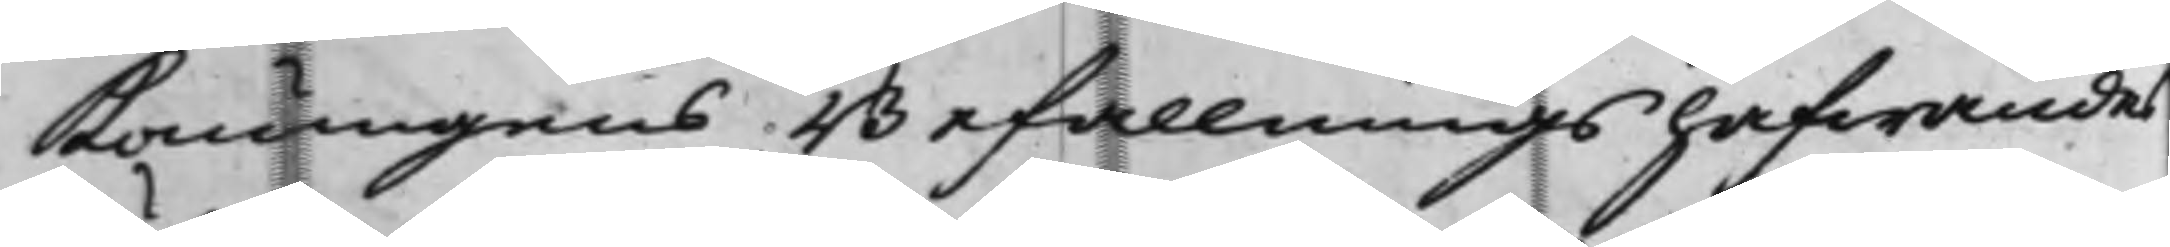Konungens Befallningshafwandes
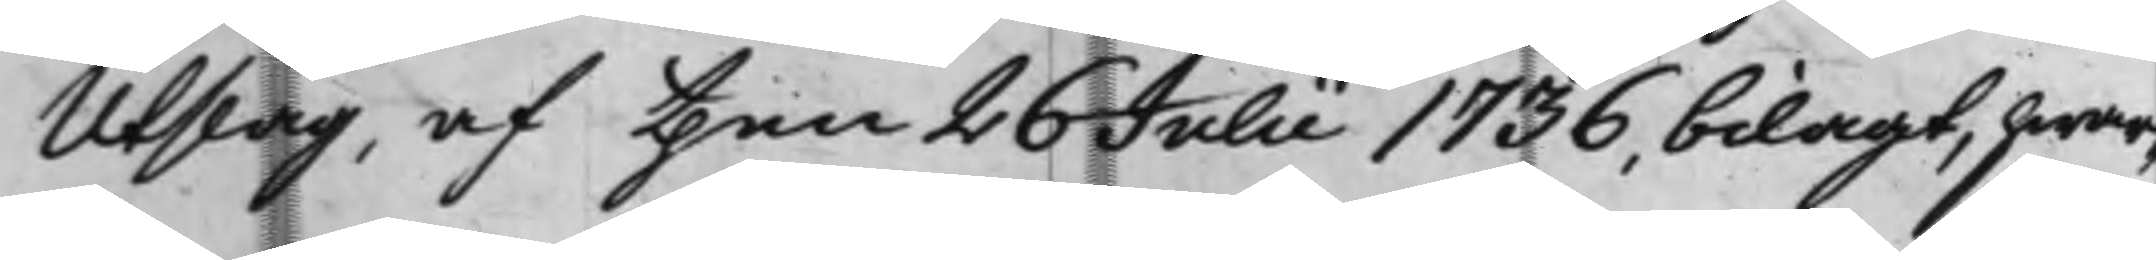Utslag, af then 26 Julii 1736, bilagt, hwar¬
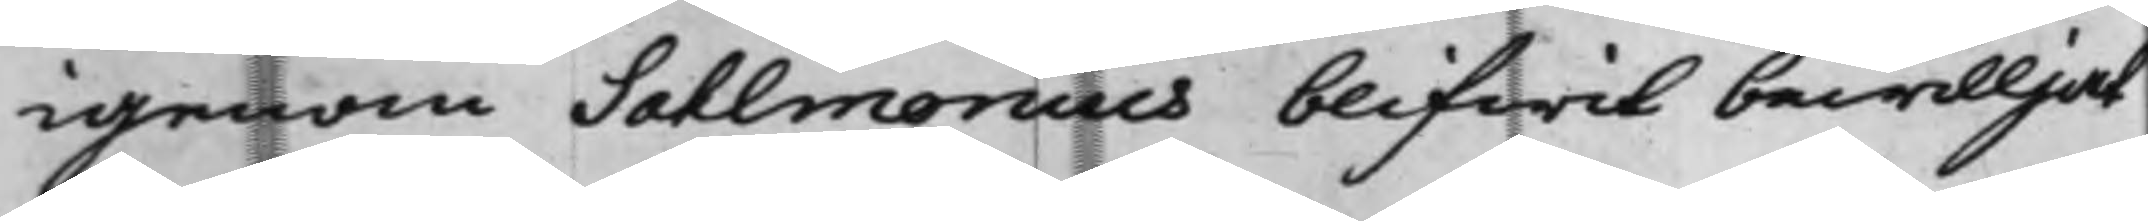igenom Sahlmonius blifwit bewilljat
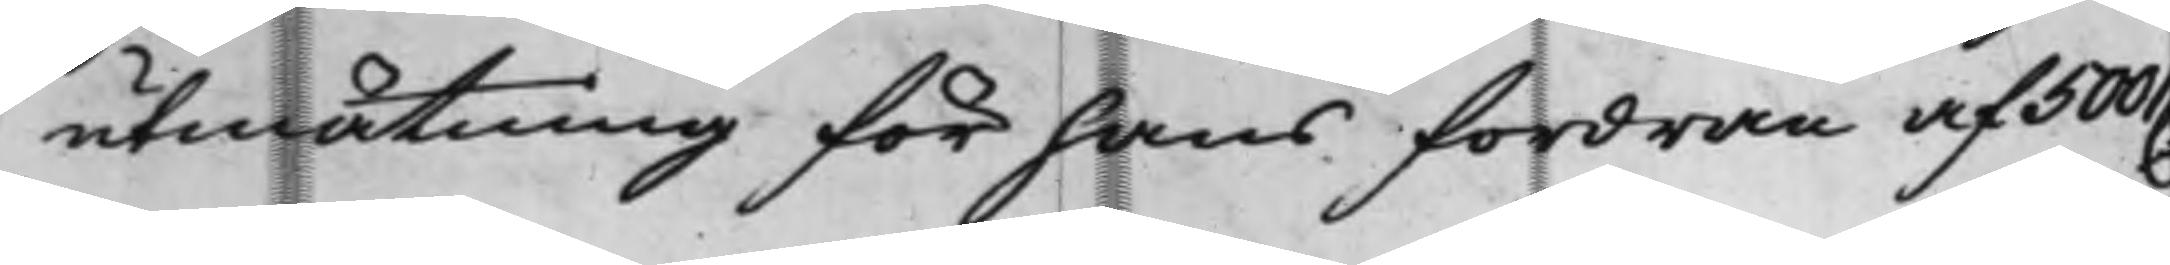utmätning för hans fordran af 500 D
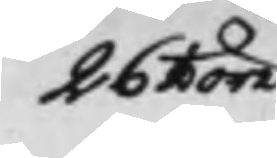26 ½ öre
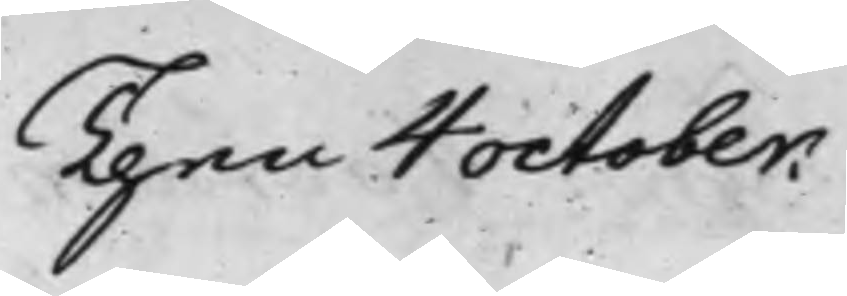Then 4 october.
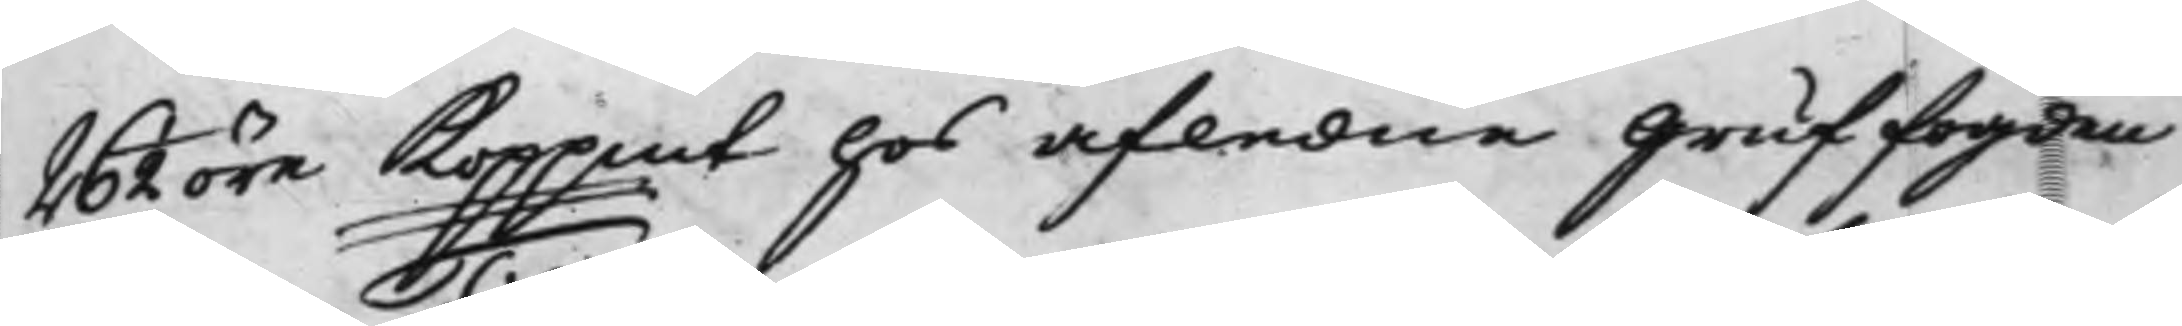26 ½ öre Koppmt hos afledne Gruffogden
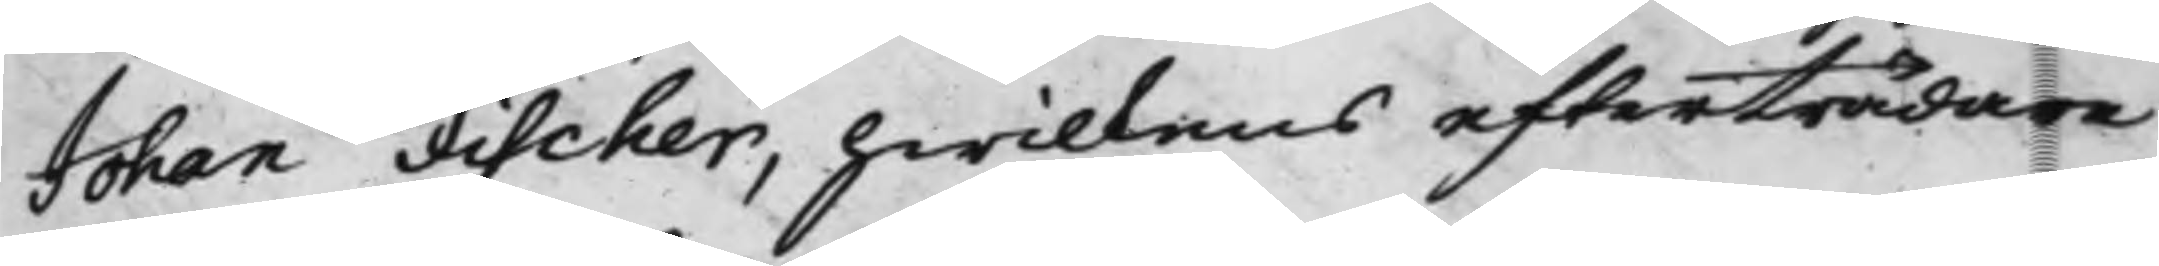Johan Fischer, hwilkens efterträdare
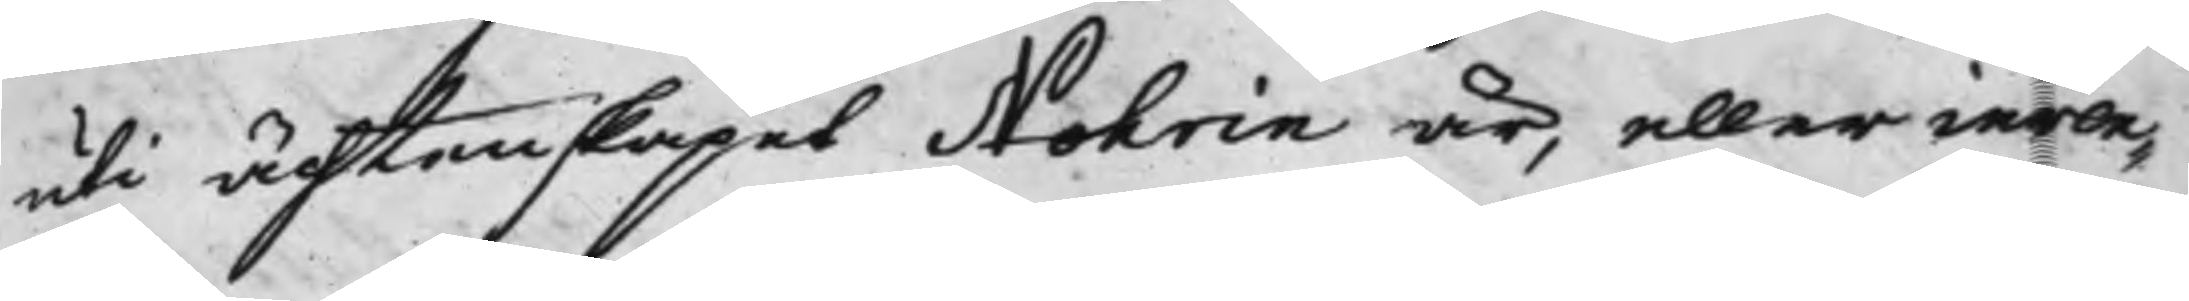uti ächtenskapet Nohrin är, eller inven¬
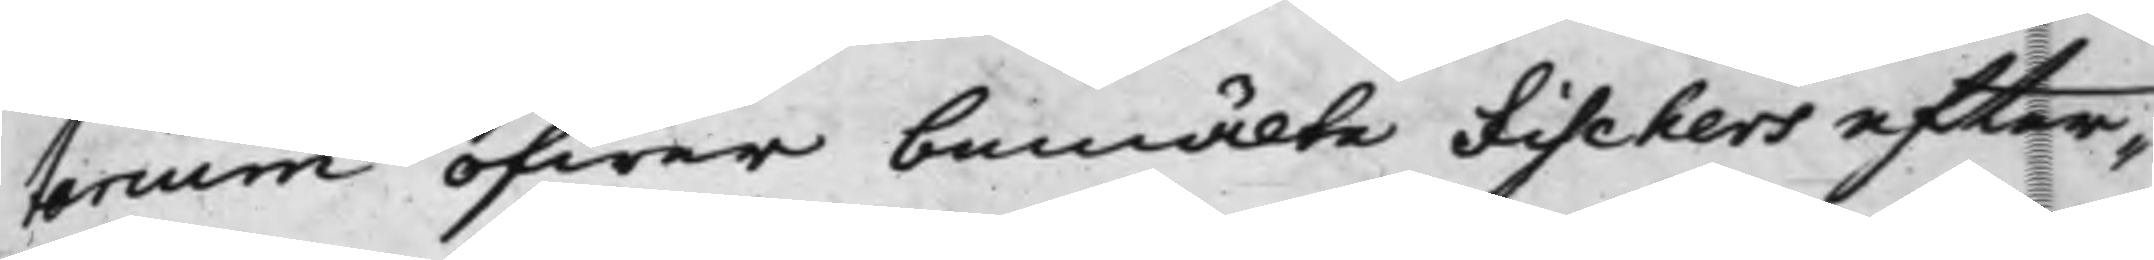tarium öfwer bemälte Fischers efter¬
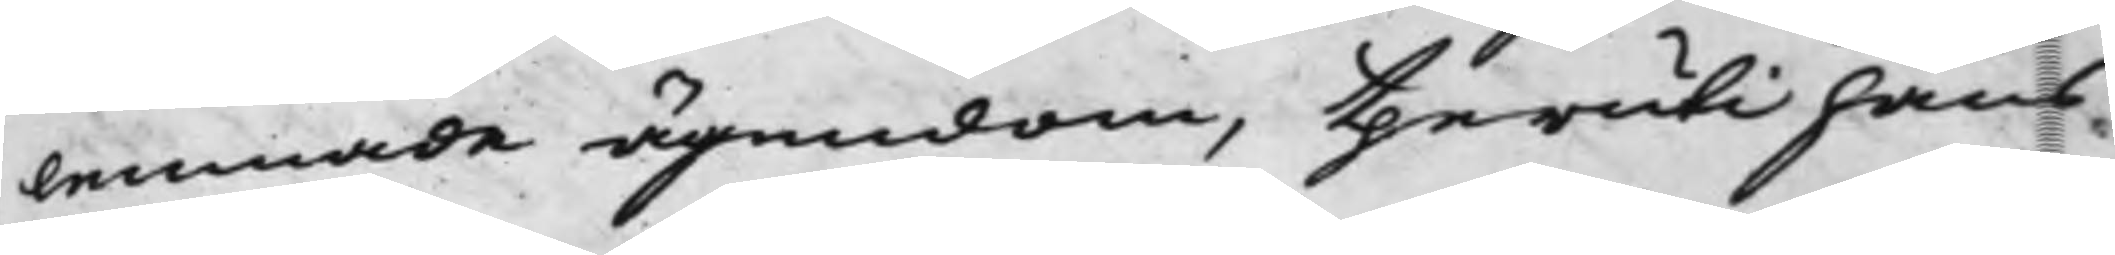lemnade ägendom, theruti hans
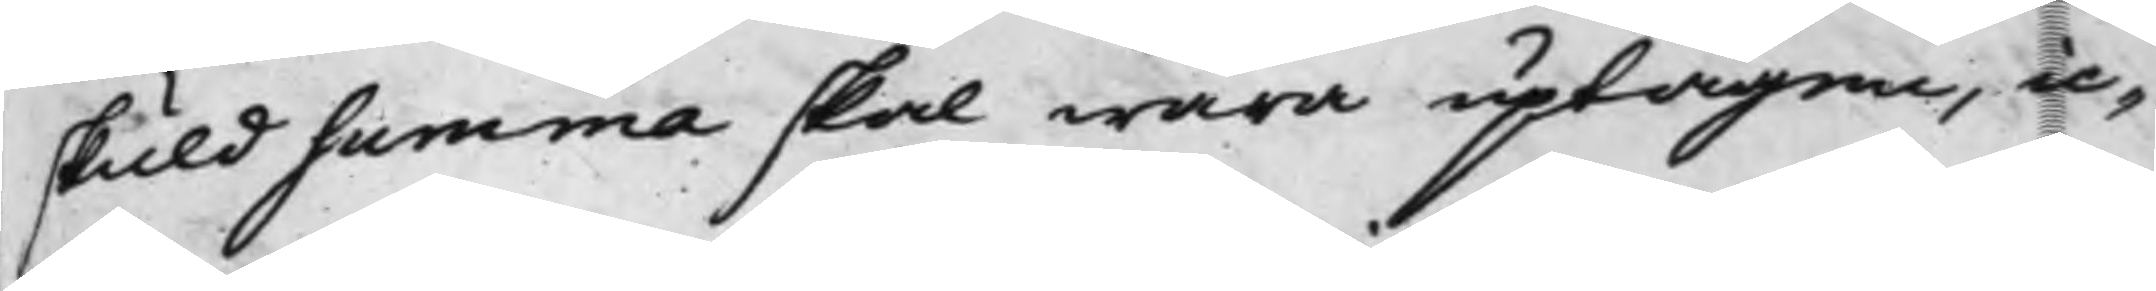skuldsumma skal wara uptagene, ic¬
